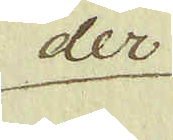der
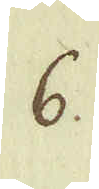6.
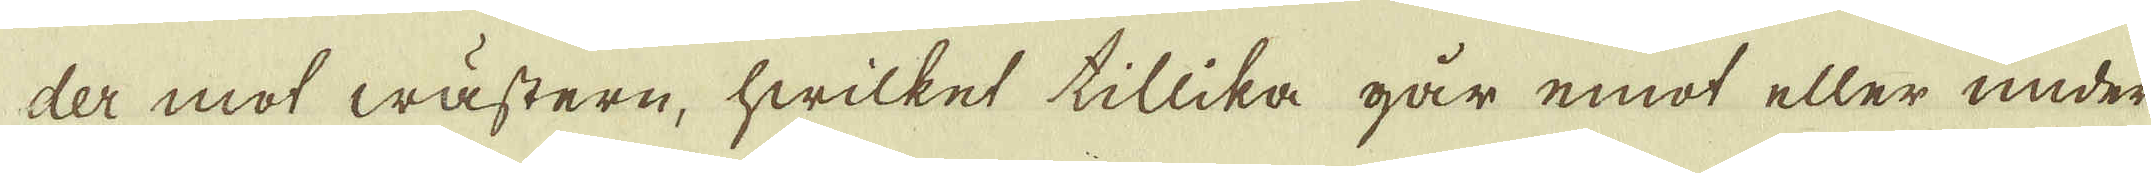der mot wästern, hwilket tillika går emot eller under
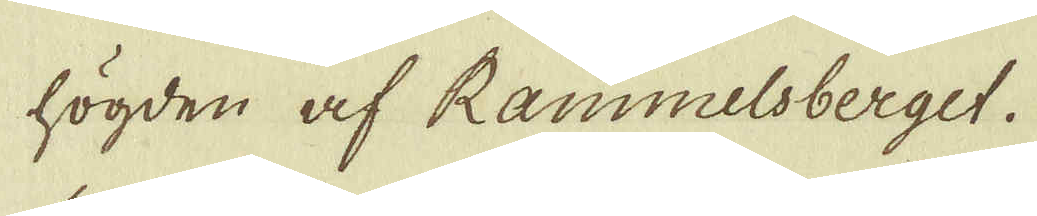högden af Rammelsberget.
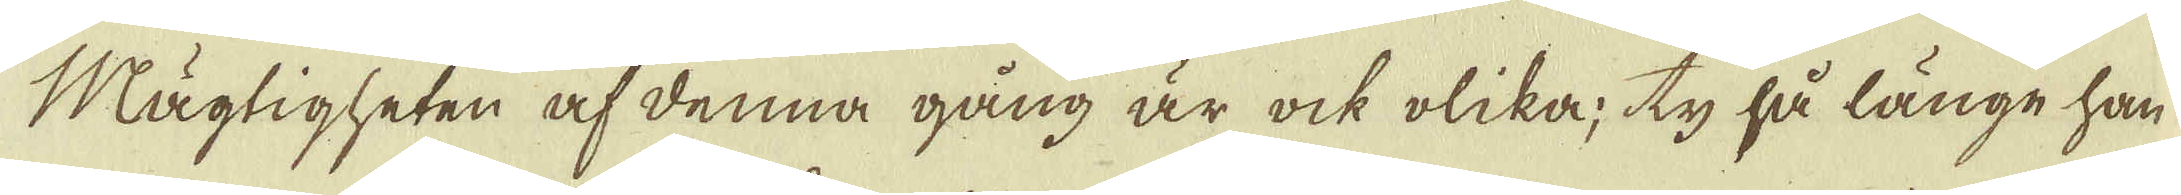Mögligheten at denna gång är ock olika; ty så länge han
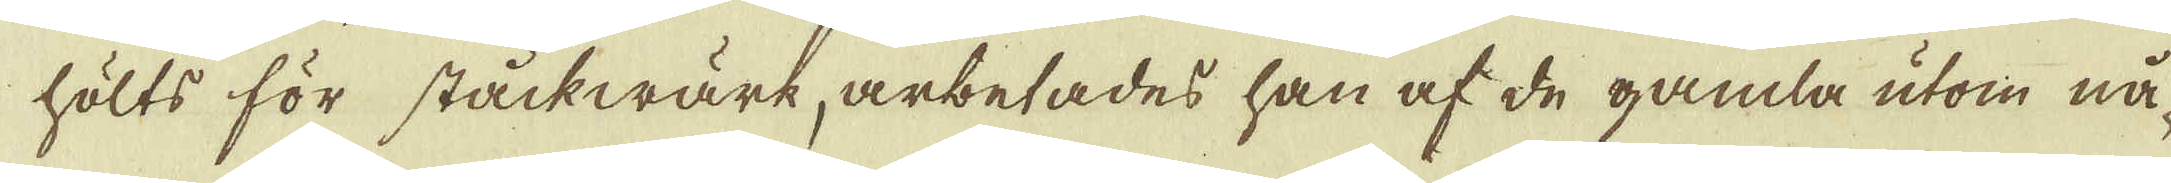hölts för ståckwärk arbetades han af de gamla utom nå-
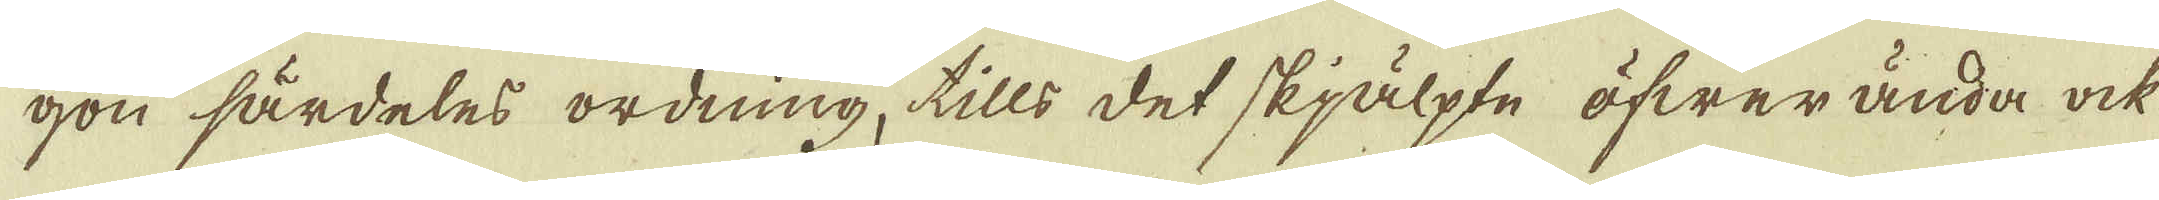gon särdeles ordning, tills det skjälpte öfwer ända ock
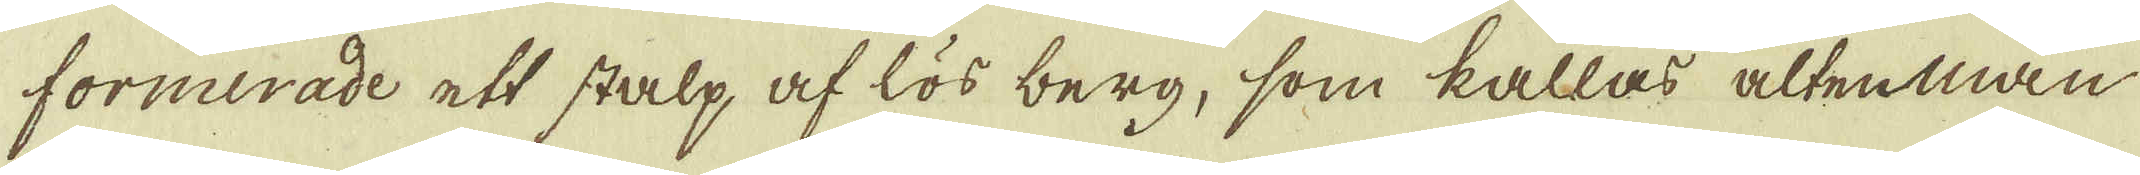formerade att stalp af lös berg, som kallas altenman
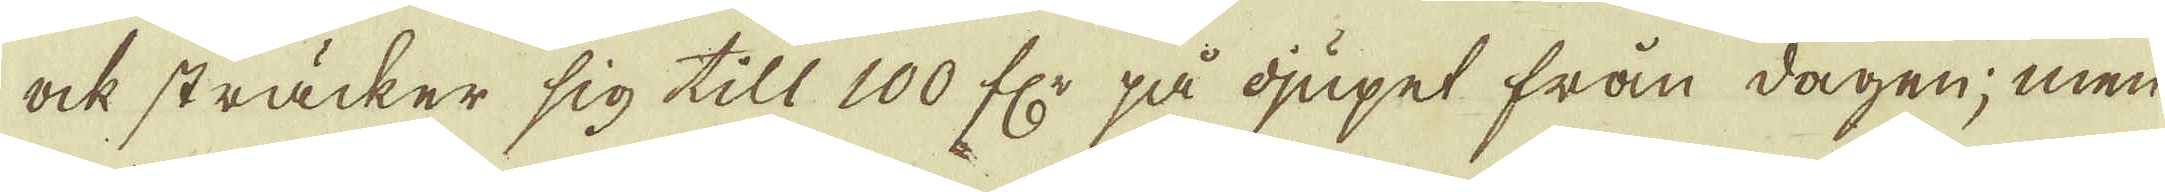ock sträcker sig till 100 f:r på djupet från dagen; men
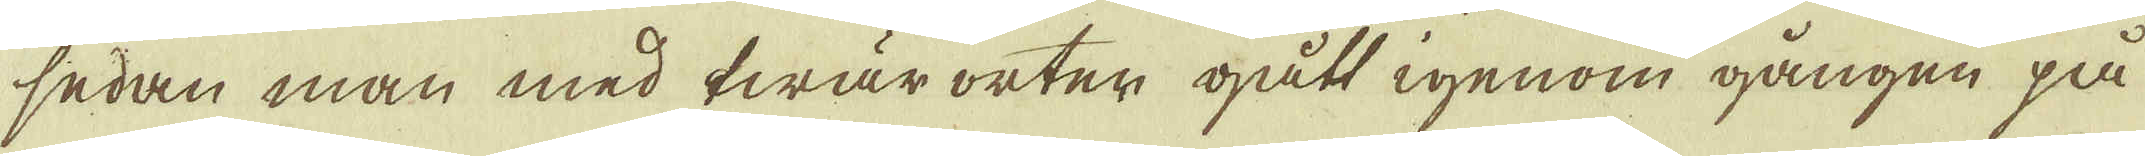sedan man med twär orter gått igenom gången på
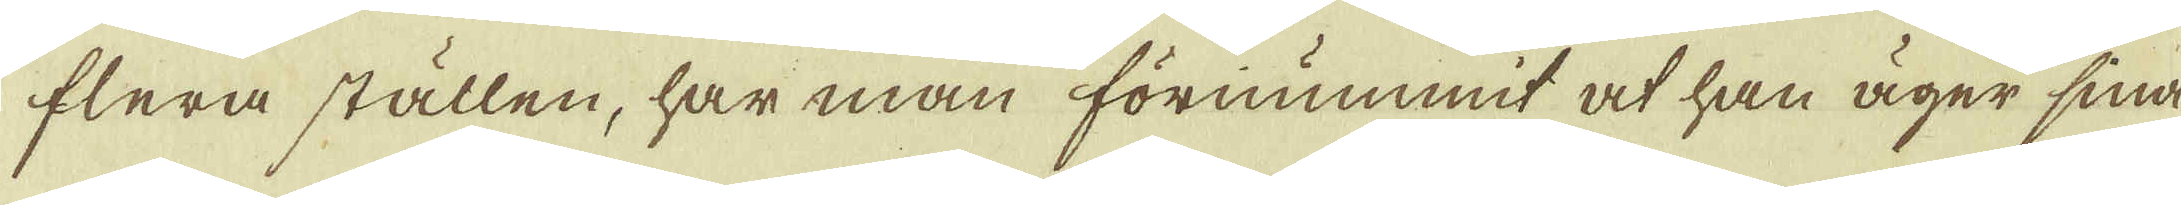flera ställen, har man förnummit at han äger sina
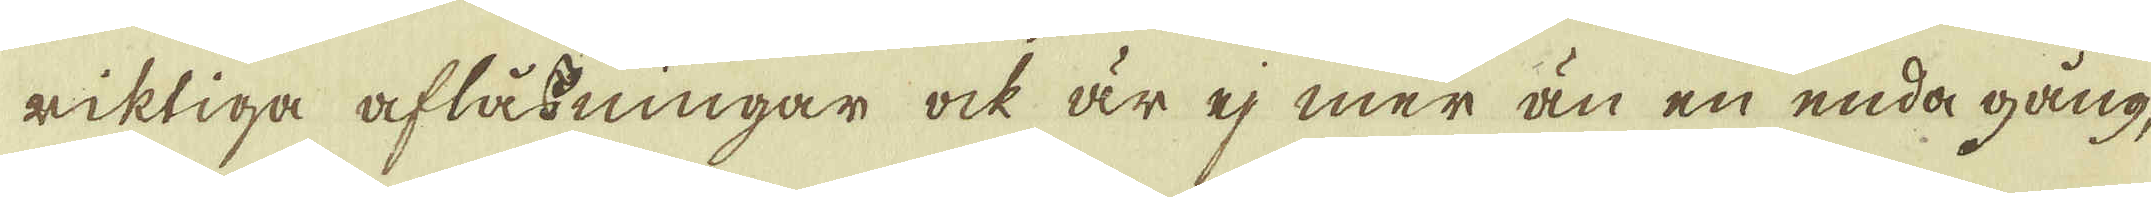riktiga afläsningar ock är ej mer än en enda gång,
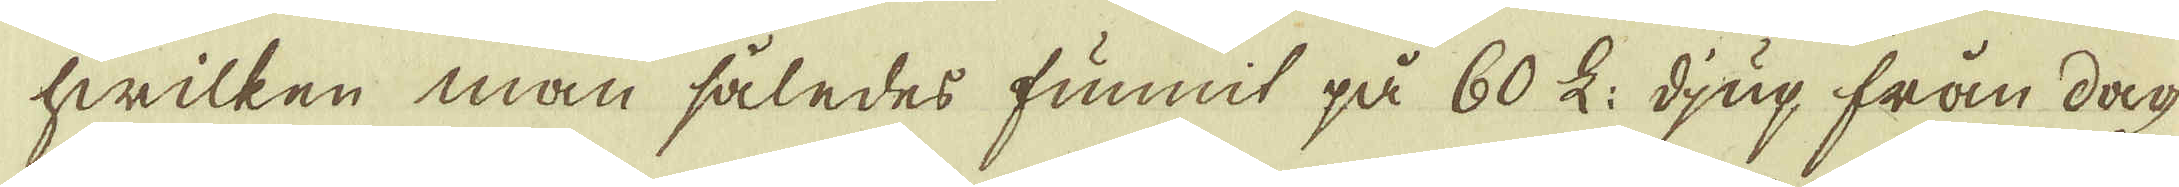hwilken man således funnit på 60 L: djup från dag
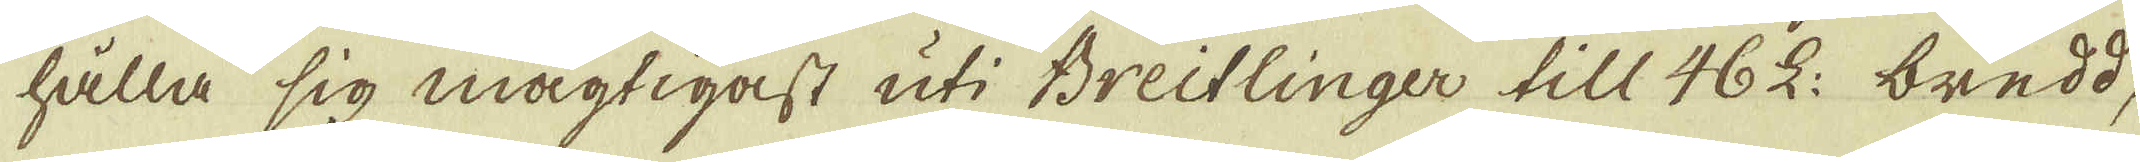hålla sig mägtigast uti Breitlinger till 46 L: bredd,
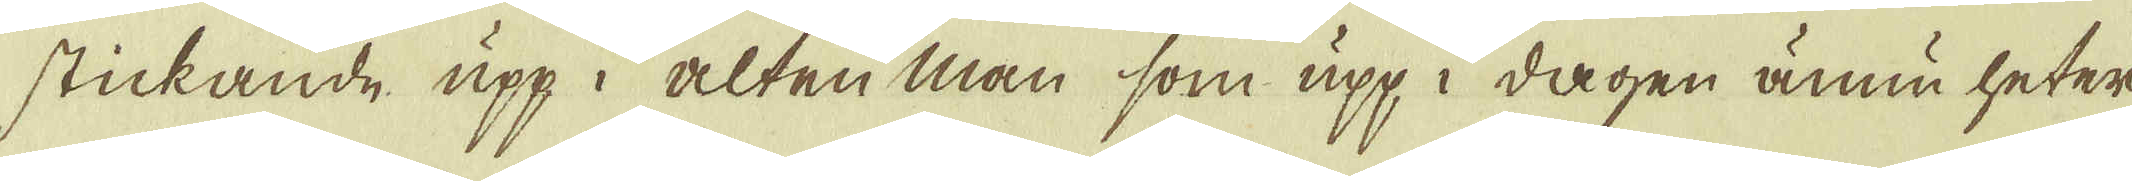stickande upp i alten man som upp i dagen ännu heter
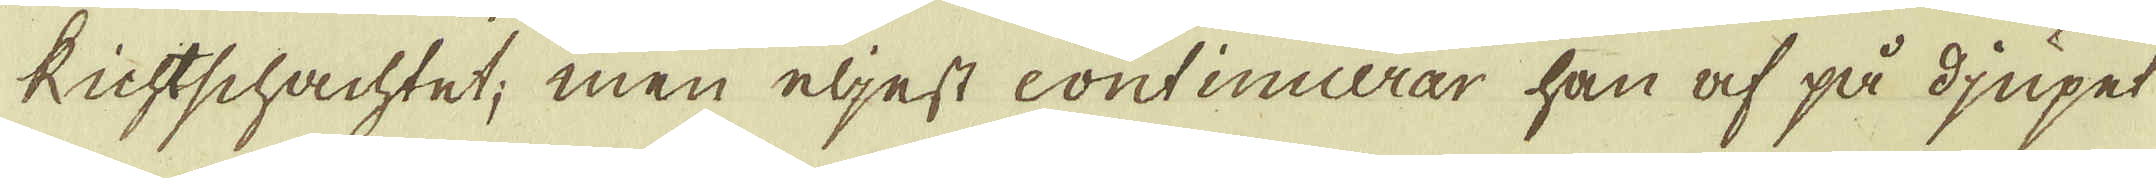Kichtschachtet, men eljest continuerar han af på djupe
